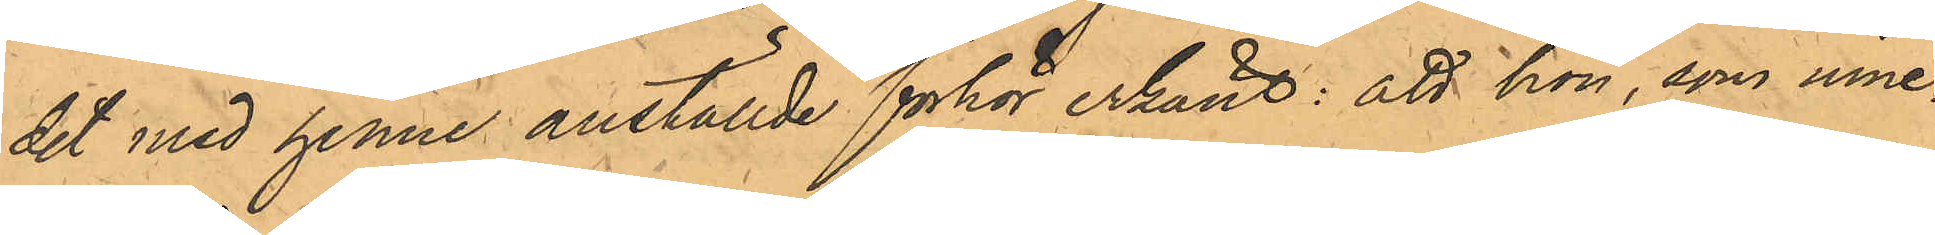det med henne anställde förhör erkänt: att hon, som inne¬
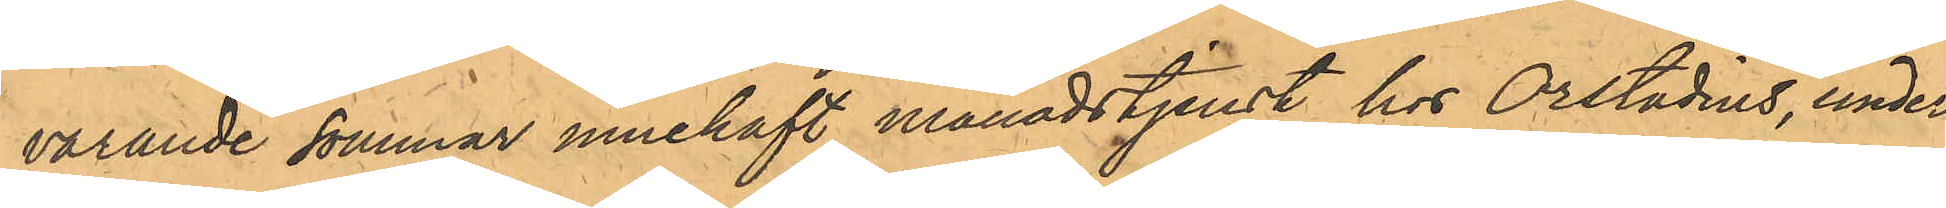varande sommar innehaft månadstjenst hos Orstadius, under
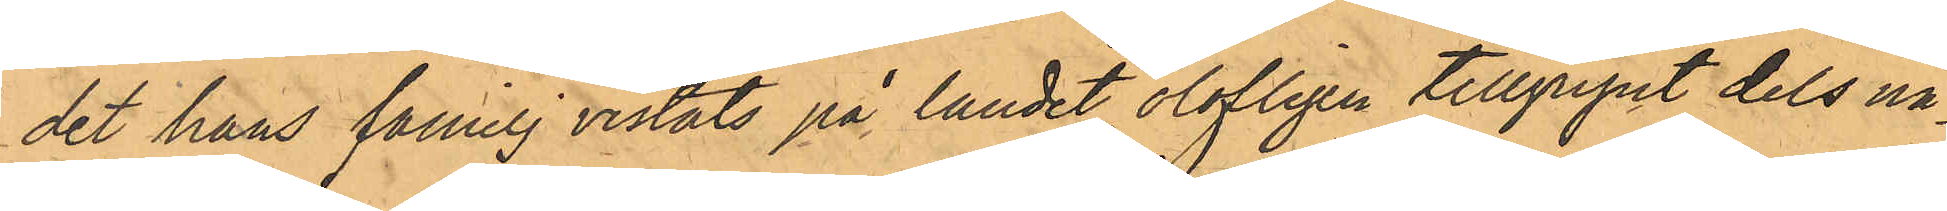det hans familj vistats på landet olofligen tillgripit dels nå¬
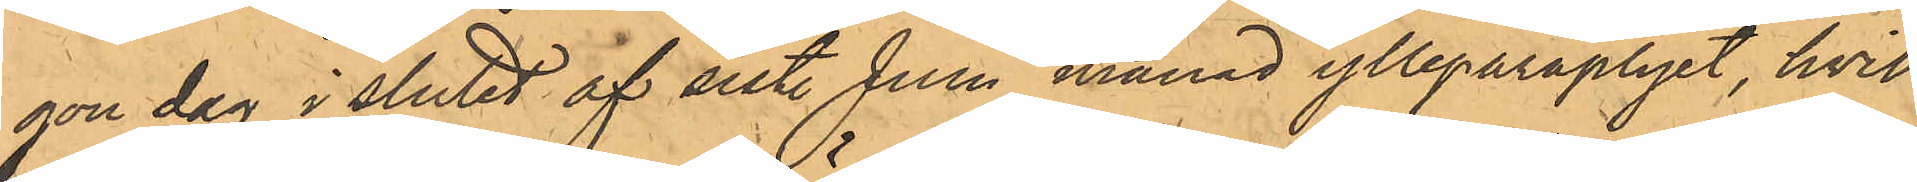gon dag i slutet af sist. Juni månad ylleparaplyet, hvil¬
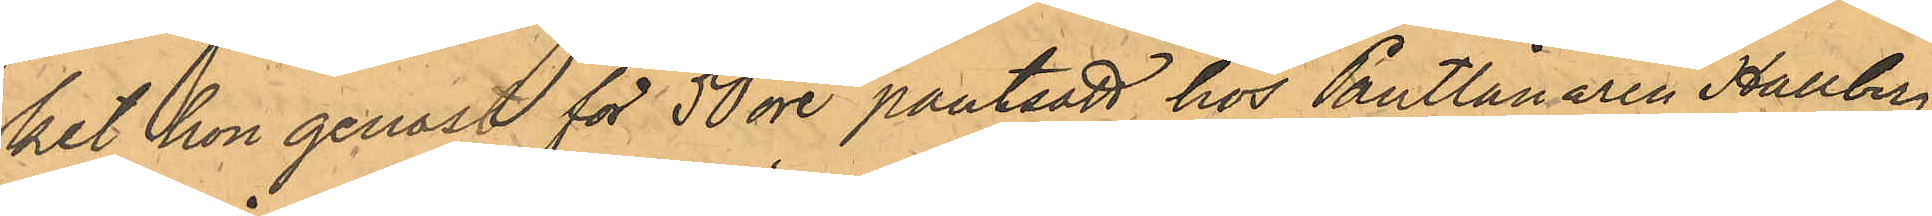ket hon genast för 50 öre pantsatt hos Pantlånaren Hallberg,
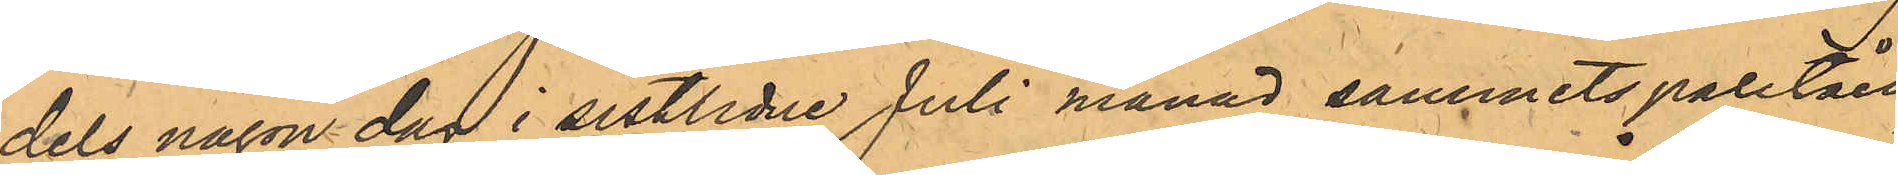dels någon dag i sistlidne Juli månad sammetspaletåen,
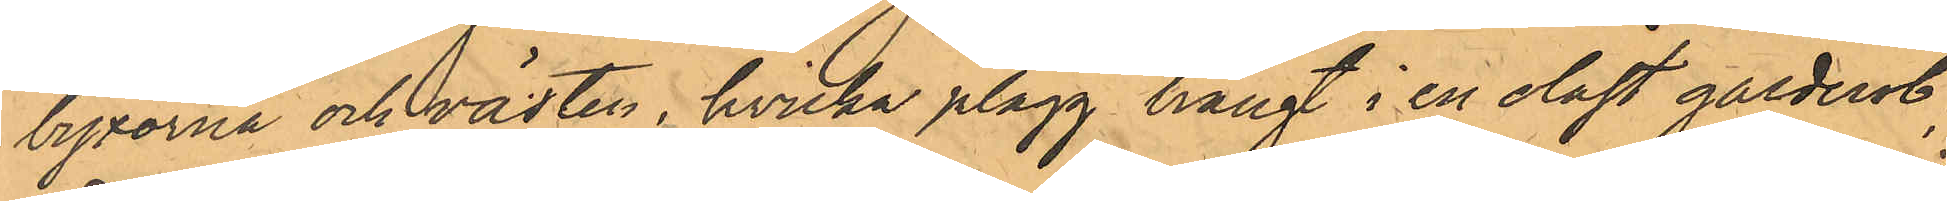byxorna och västen, hvilka plagg hängt i en olåst garderob;
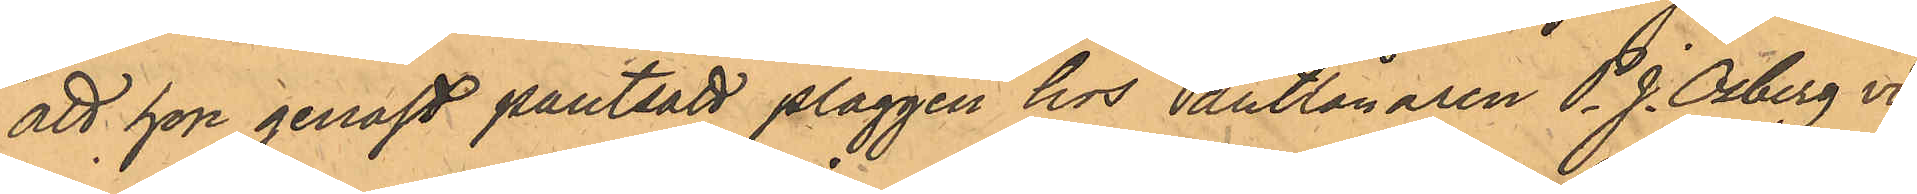att hon genast pantsatt plaggen hos Pantlånaren P. J. Osberg vid
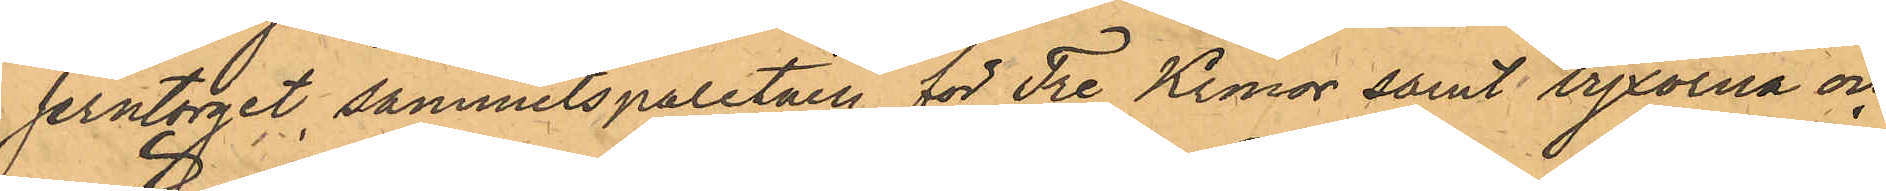Jerntorget, sammetspaletåen för Tre Kronor samt byxorna och
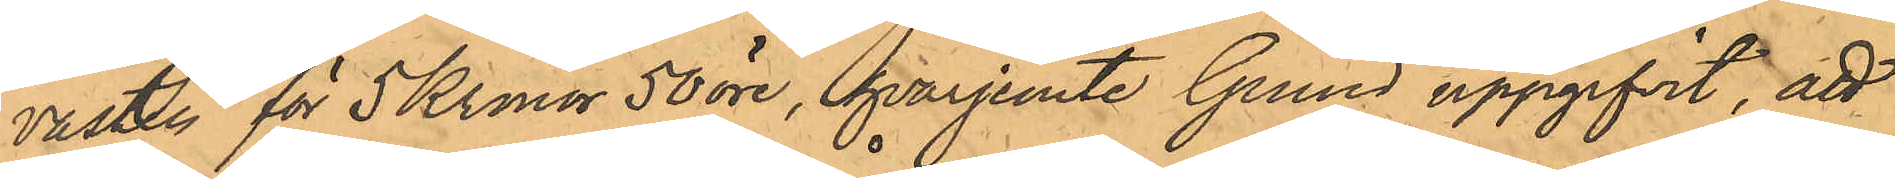västen för 5 Kronor 50 öre, hvarjemte Grund uppgifvit, att
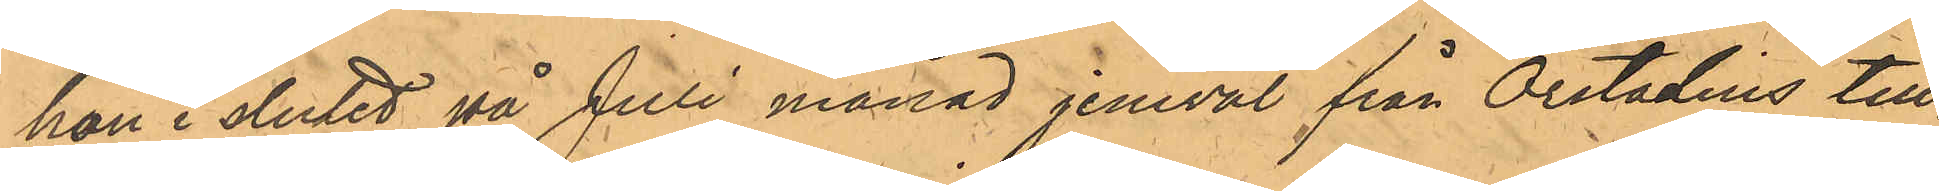hon i slutet på Juli månad jemväl från Orstadius till¬
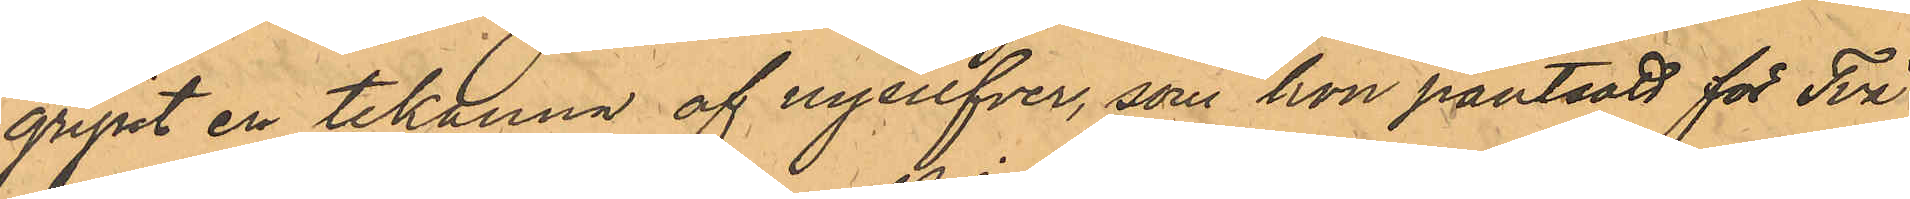gripit en tekanna af nysilfver, som hon pantsatt för Två
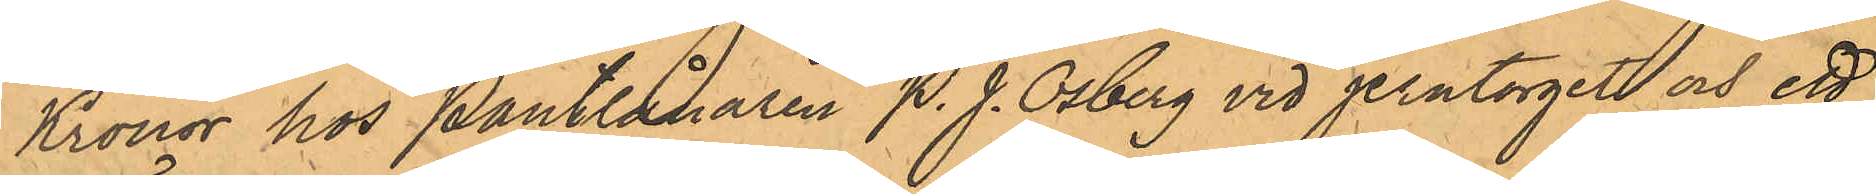Kronor hos Pantlånaren P. J. Osberg vid Jerntorget och ett
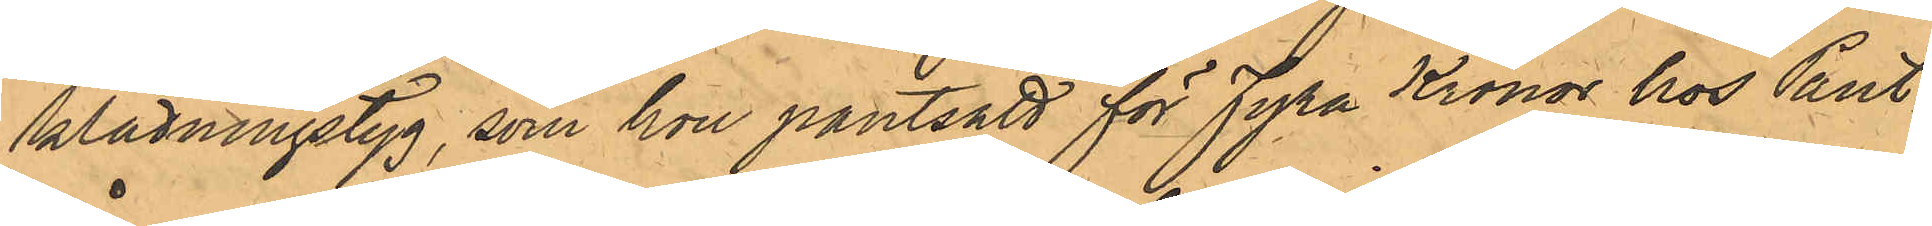klädningstyg, som hon pantsatt för Fyra Kronor hos Pant¬
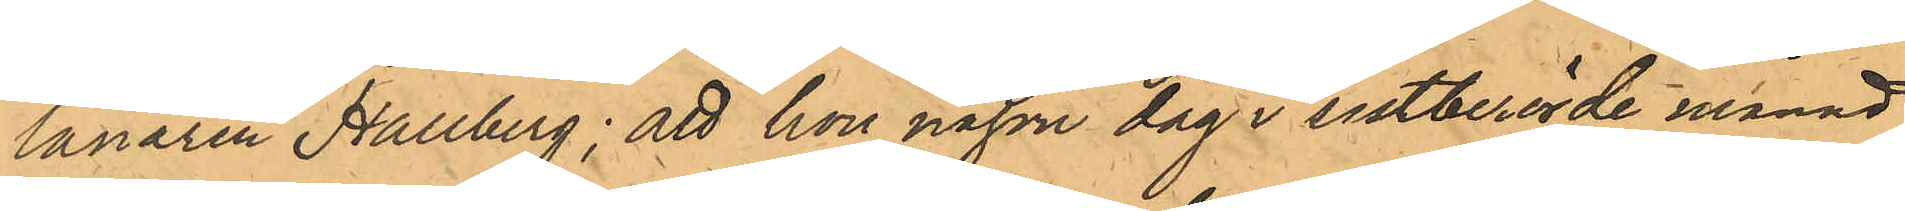lånaren Hallberg: att hon någon dag i sistberörde månad
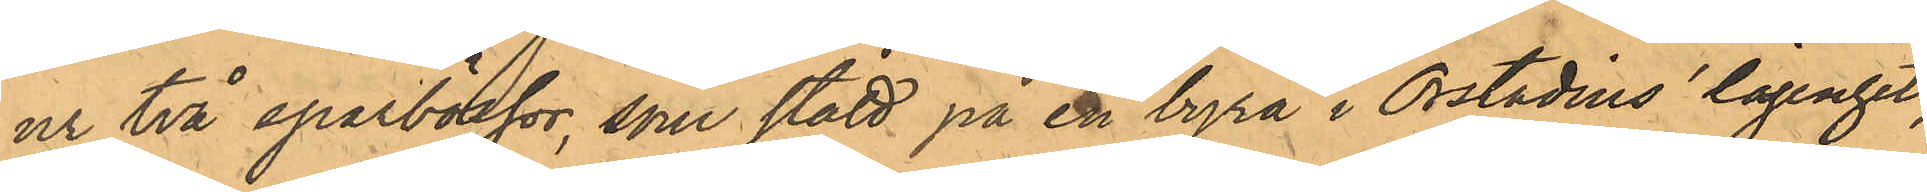ur två sparbössor, som stått på en byrå i Orstadius lägenhet,
